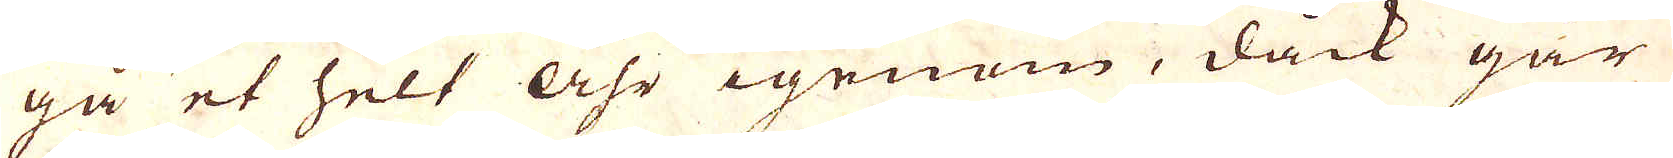gå et helt åhr igenom, dåck går
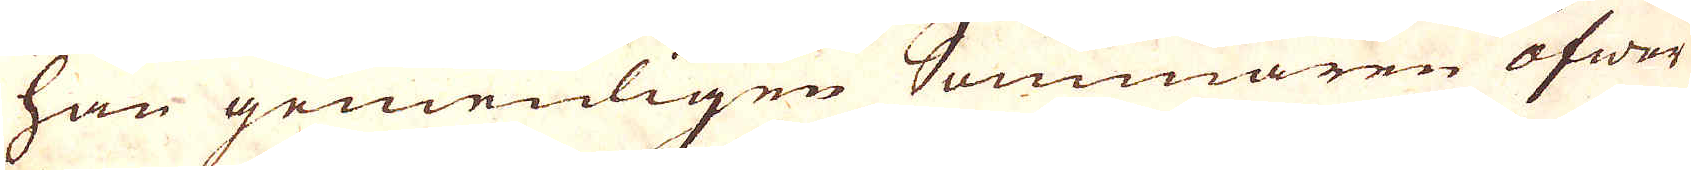han gemenligen Sommaren öfwer
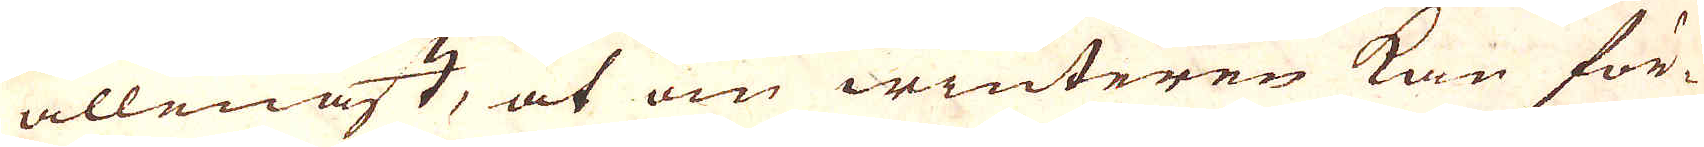allenast, at om winteren kan för-
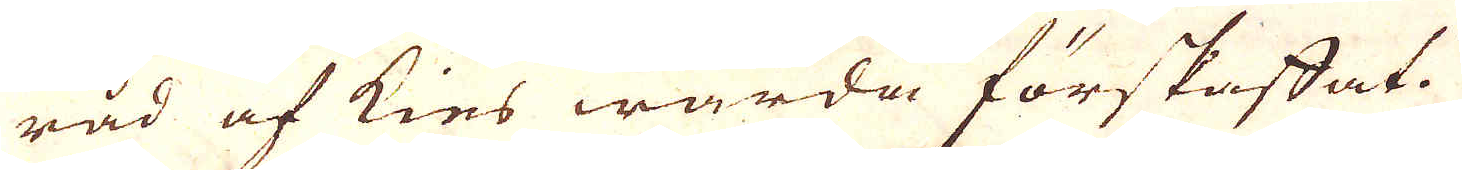råd af kies warda förskaffat.
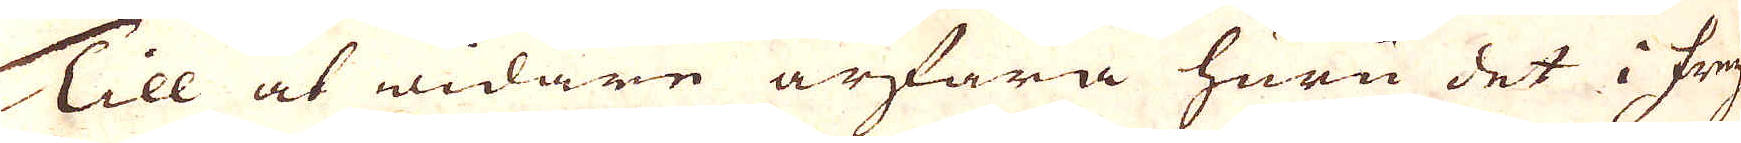Till at widare ärfara huru det i Frey-
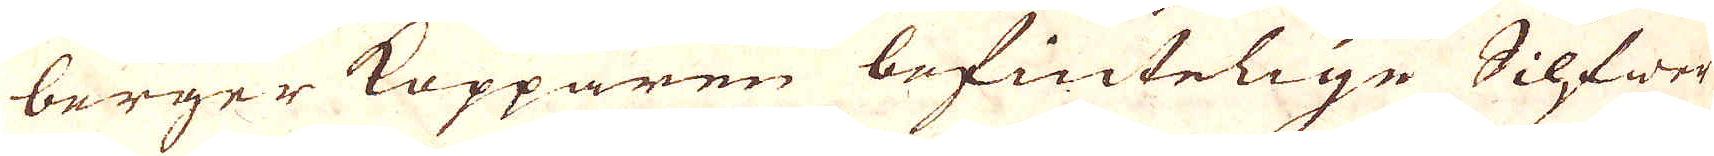berger Kopparen befintelige Silfwer
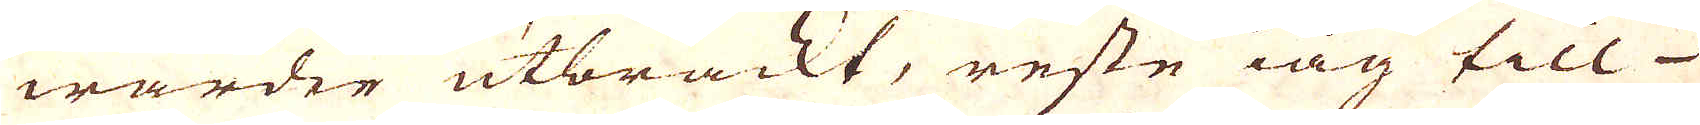warder utbrackt, reste iag till
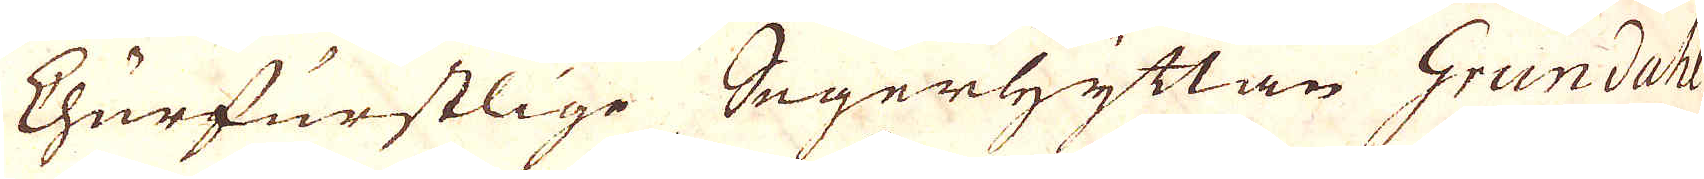Churfurstlige Segerhyttan Grundahl
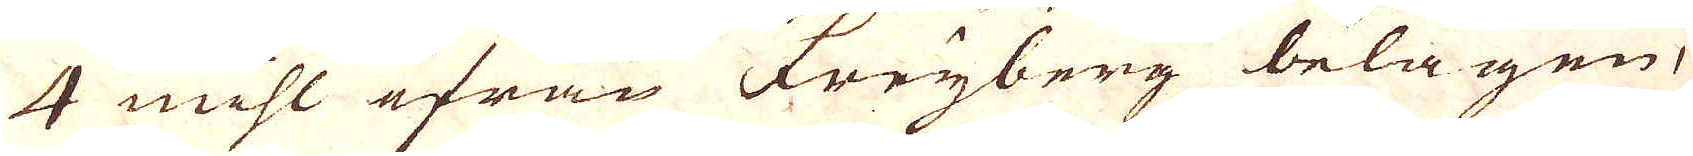4 mihl ifrån Freyberg belägen,
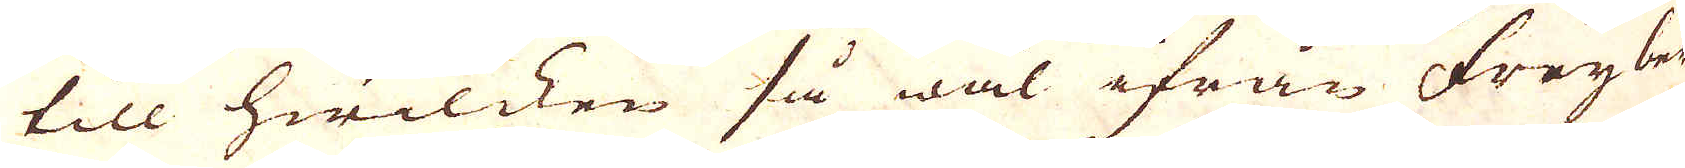till hwilcken så wäl ifrån Freyberg
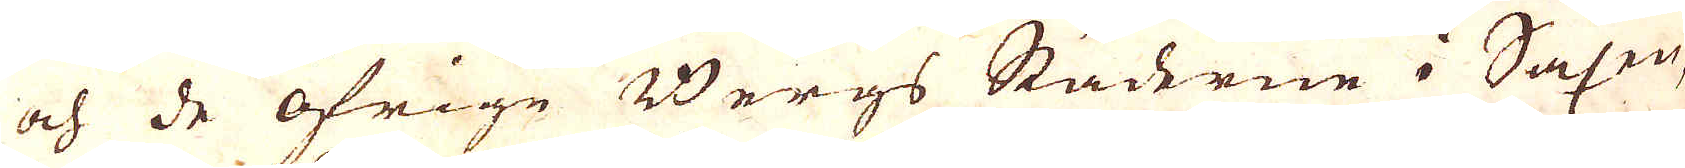och de öfrige Bergs Städerne i Saxen,
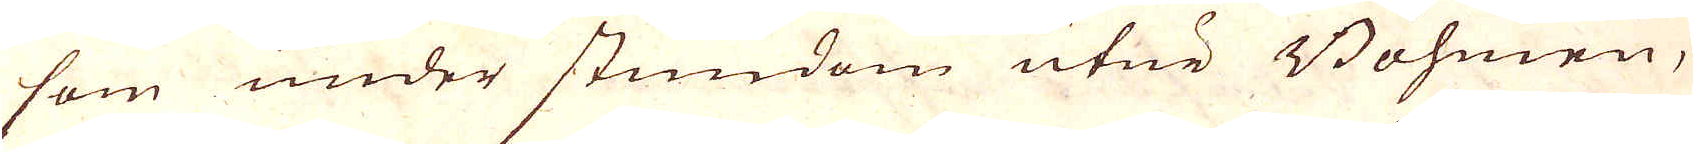som under stundom utur Böhmen,
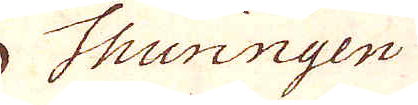Thuringen
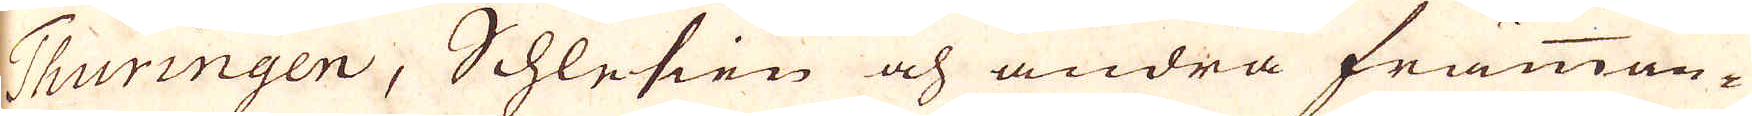Thuringen, Schlesien och andra främman-
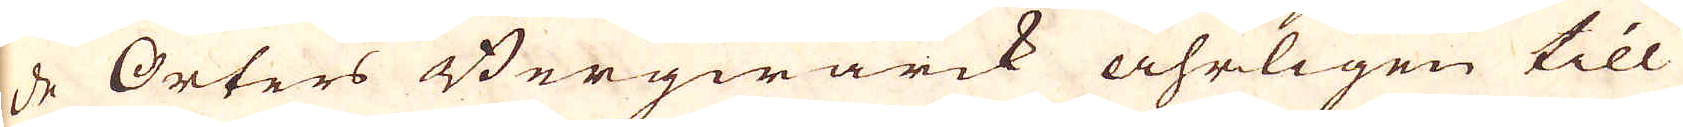de Orters Bergwärck åhrligen till
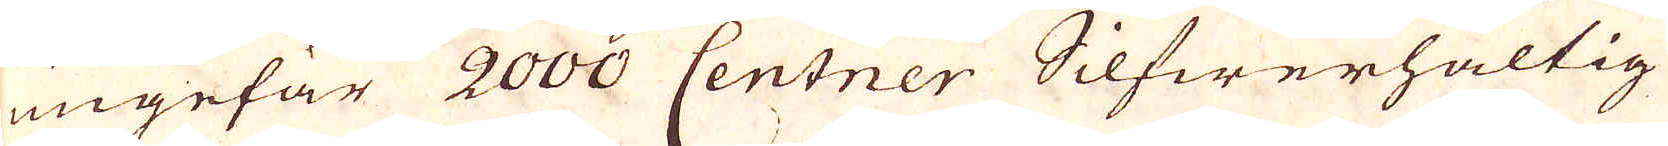ungefär 2000 Centner Silfwerhaltig
